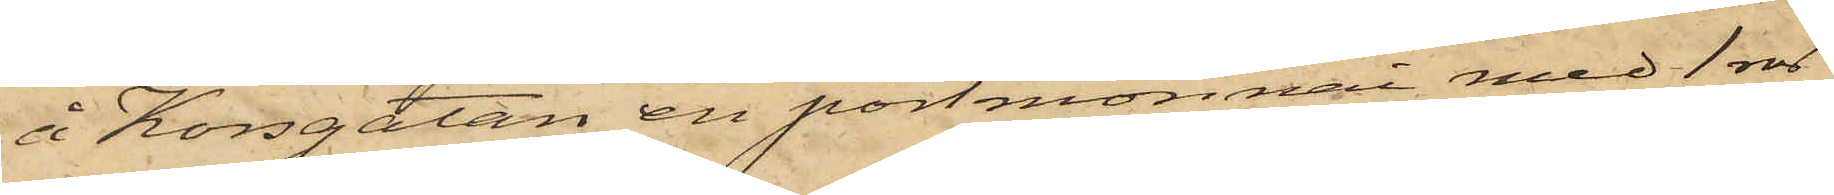å Korsgatan en portmonnai med 1 rdr
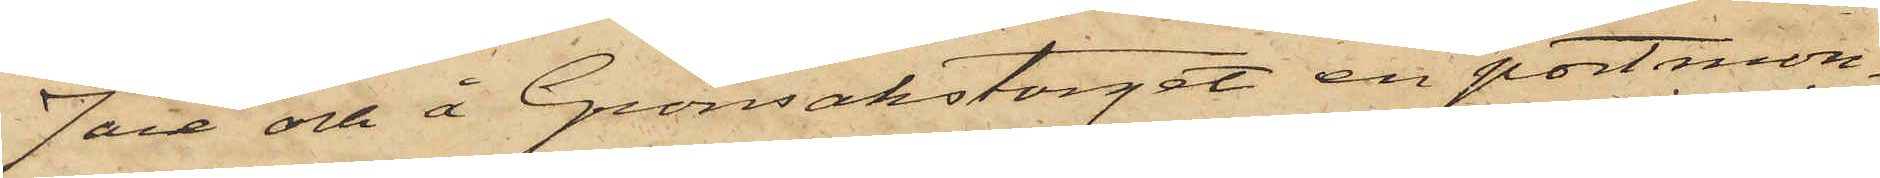7 öre och å Grönsakstorget en portmon¬
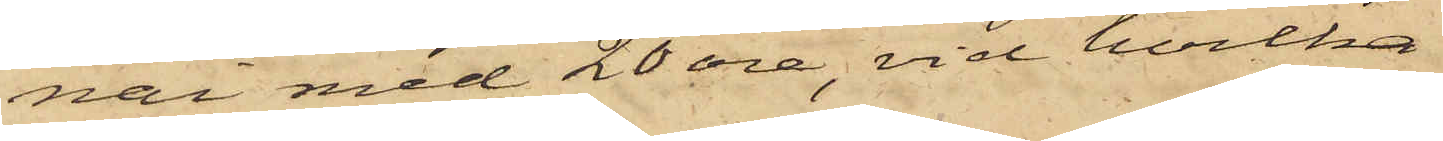nai med 20 öre, vid hvilka
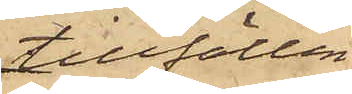tillfällen
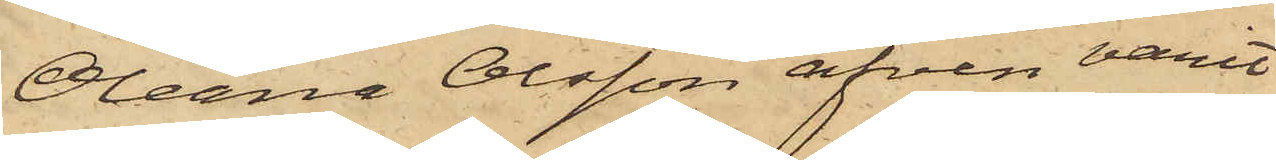Olena Olsson äfven varit
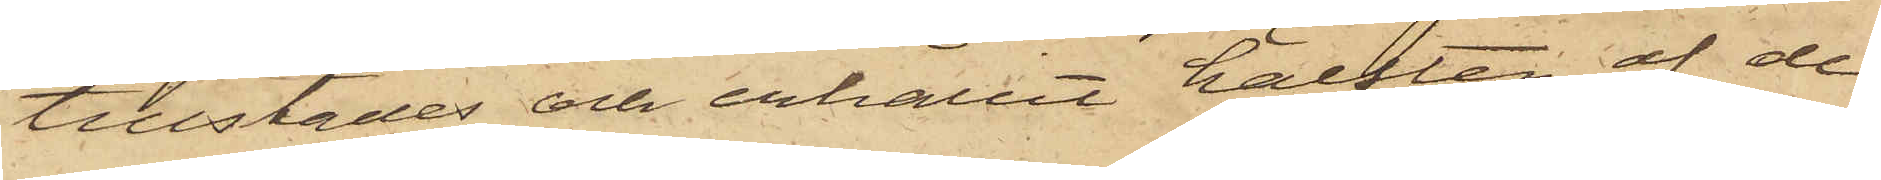tillstädes och erhållit hälften af de
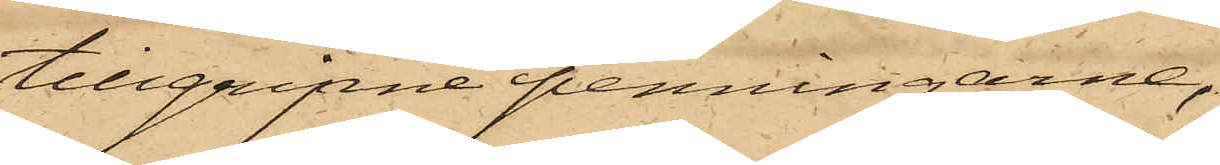tillgripne penningarne,
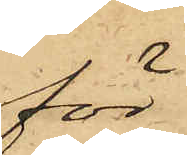för
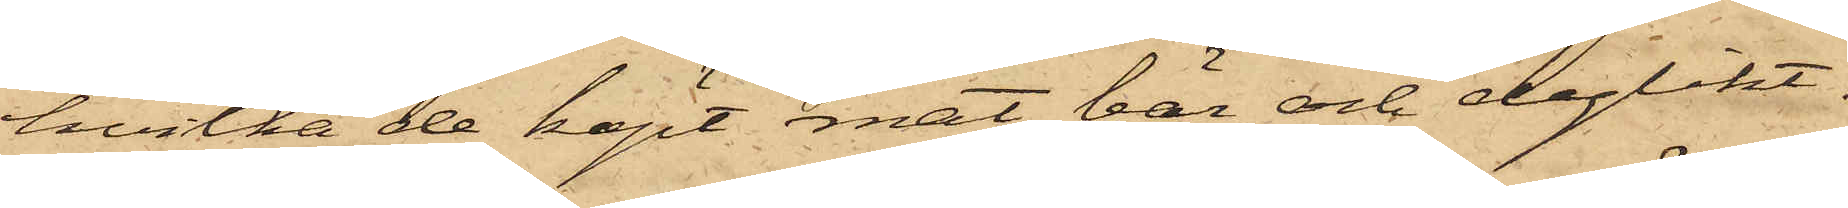hvilka de köpt mat, bär och dylikt.
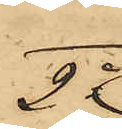2o
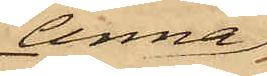Anna
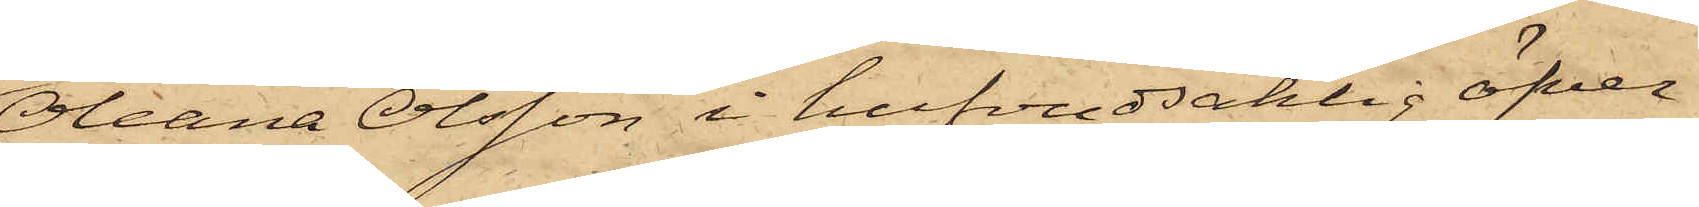Oleana Olsson i hufvudsaklig öfver¬
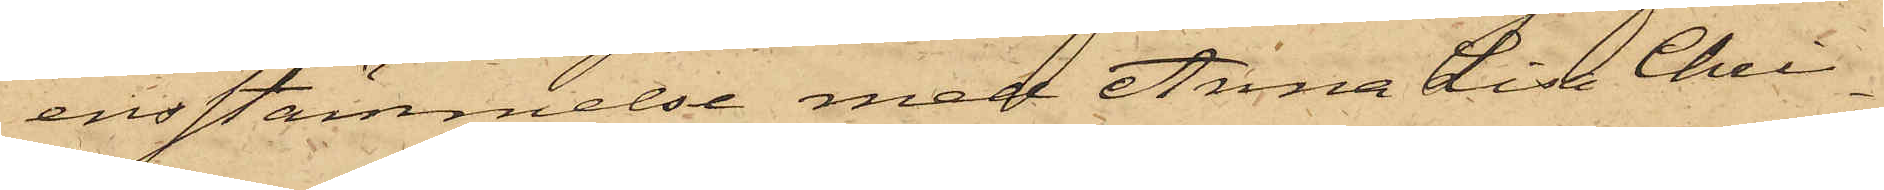ensstämmelse med Anna Lisa Chris¬
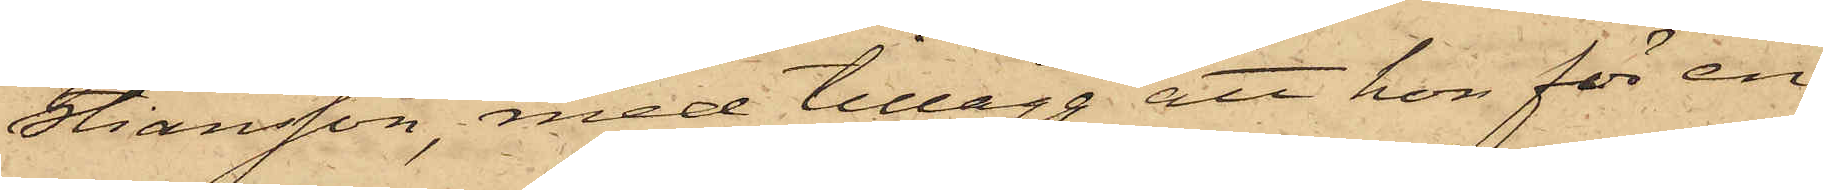stiansson, med tillägg att hon för en
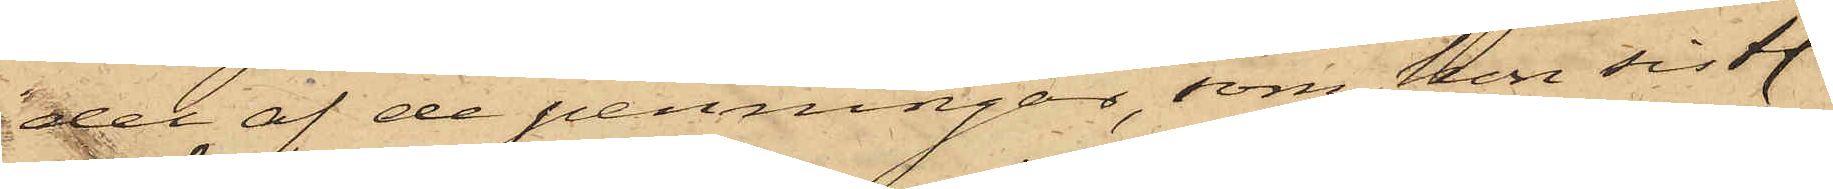del af de penningar, som hon sistl.
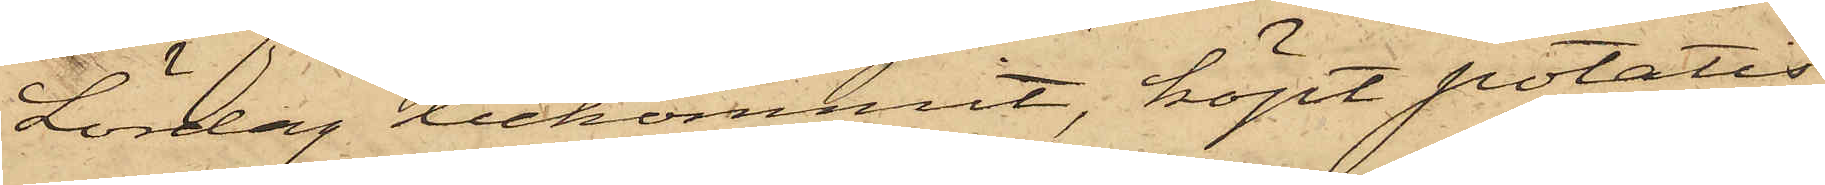Lördag bekommit, köpt potatis
